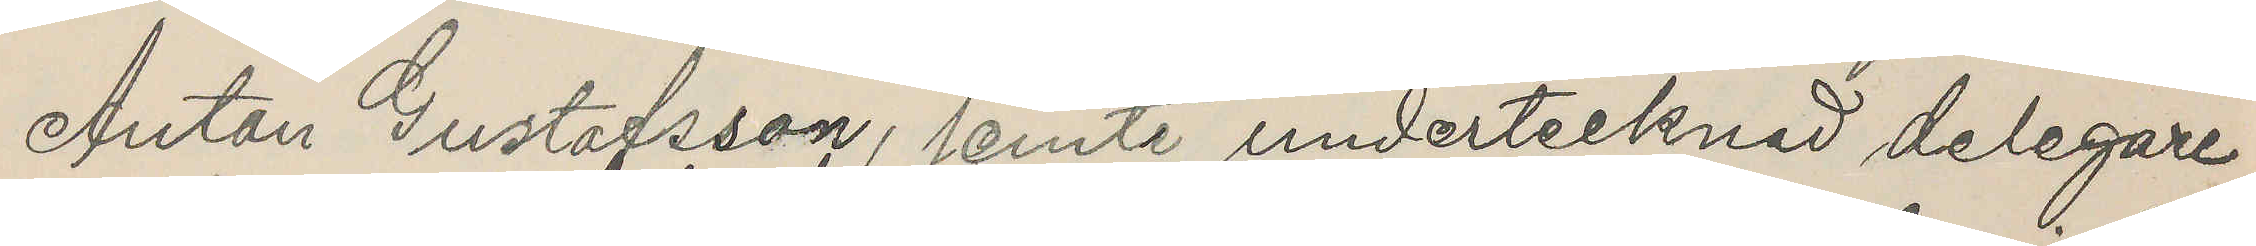Anton Gustafsson, jemte undertecknad delegare
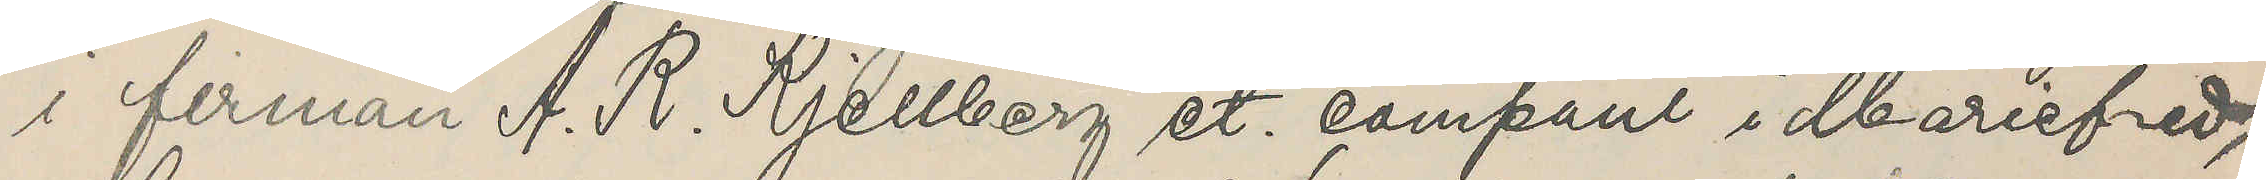i firman A. R. Kjellberg et. compani i Mariefred,
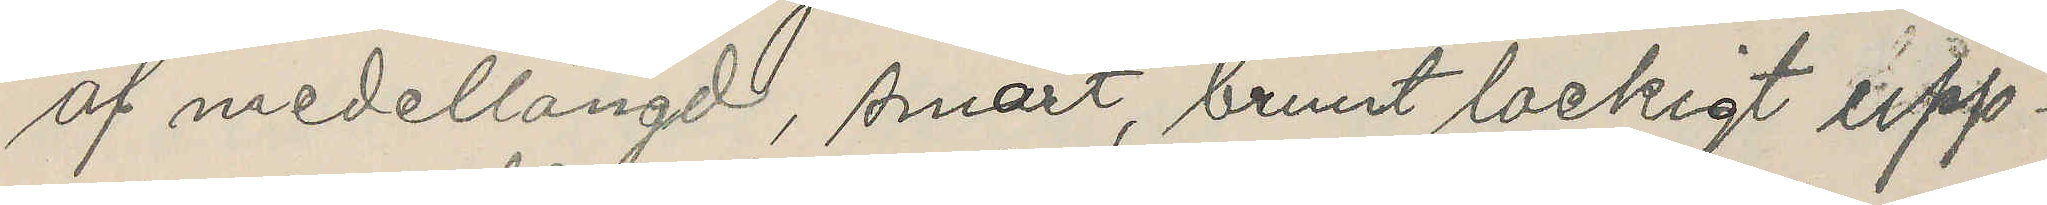af medellängd, smärt, brunt lockigt upp¬
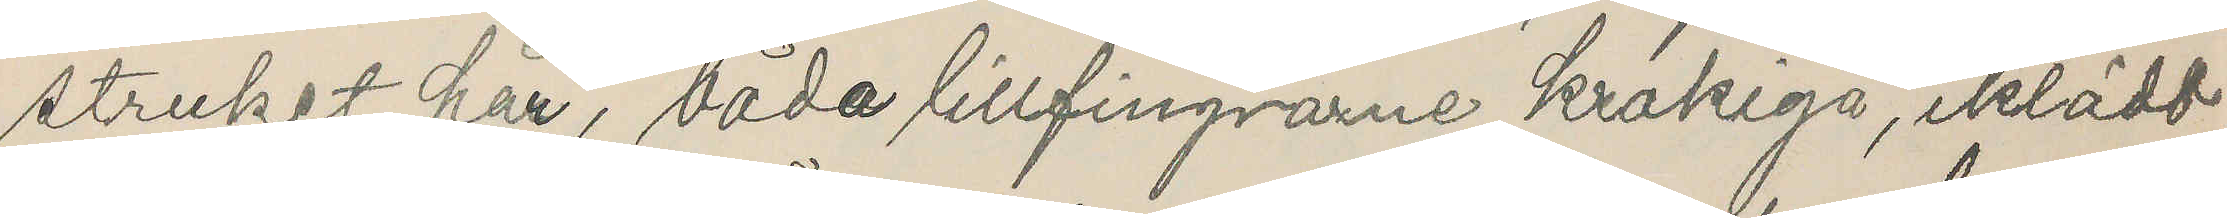struket hår, båda lillfingrarne Krokiga, iklädd
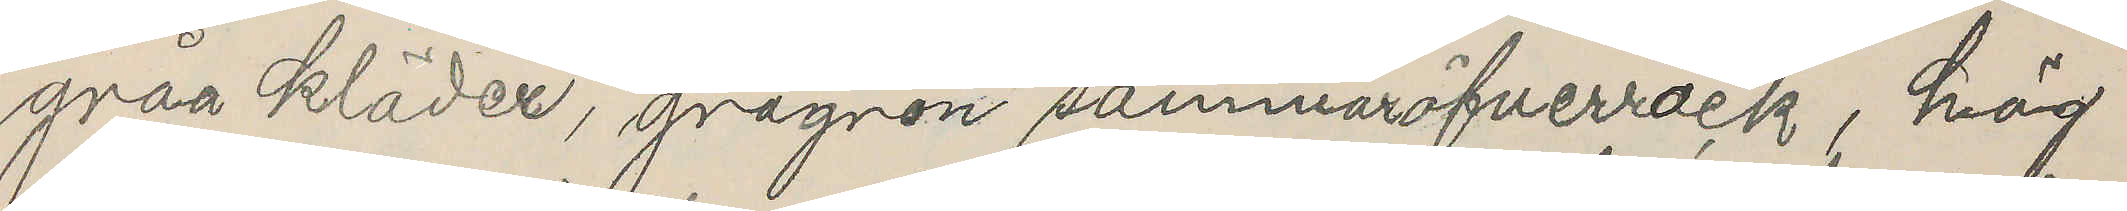gråa kläder, grågrön sommaröfverrock, hög
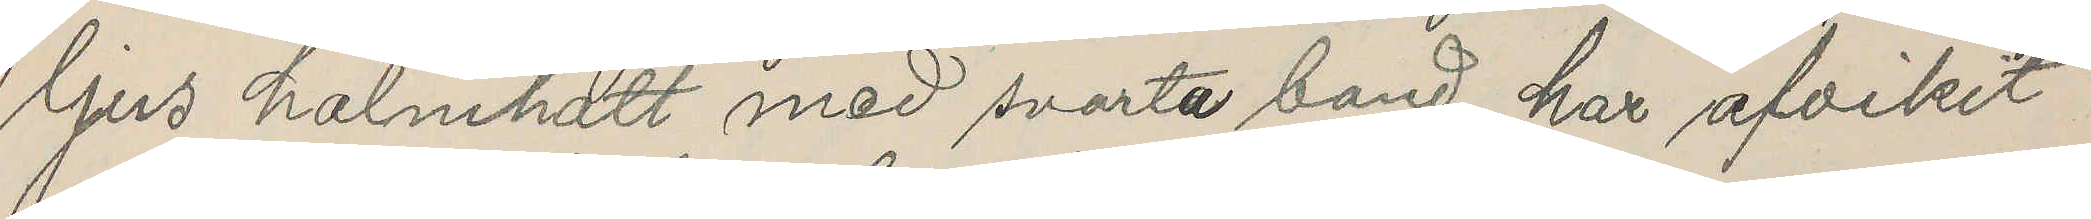ljus halmhatt med svarta band, har afvikit
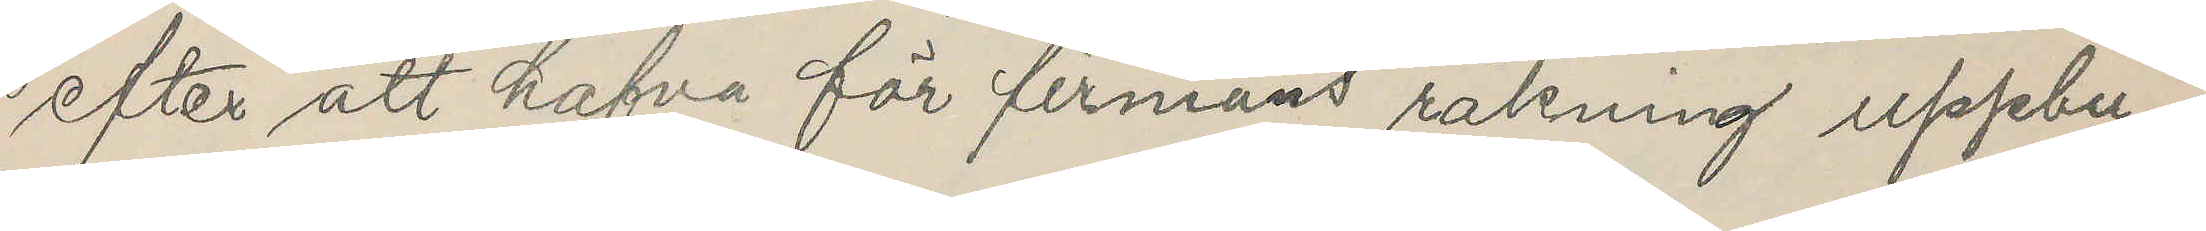efter att hafva för firmans räkning uppbu¬
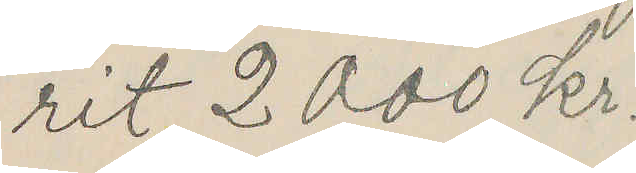rit 2000 Kr.
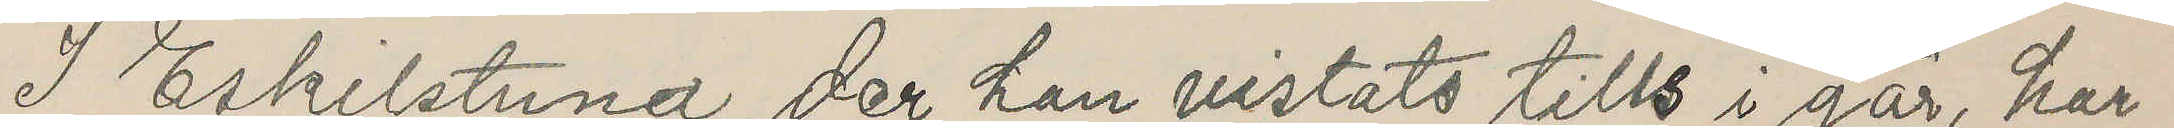I Eskilstuna der han vistats tills i går, har
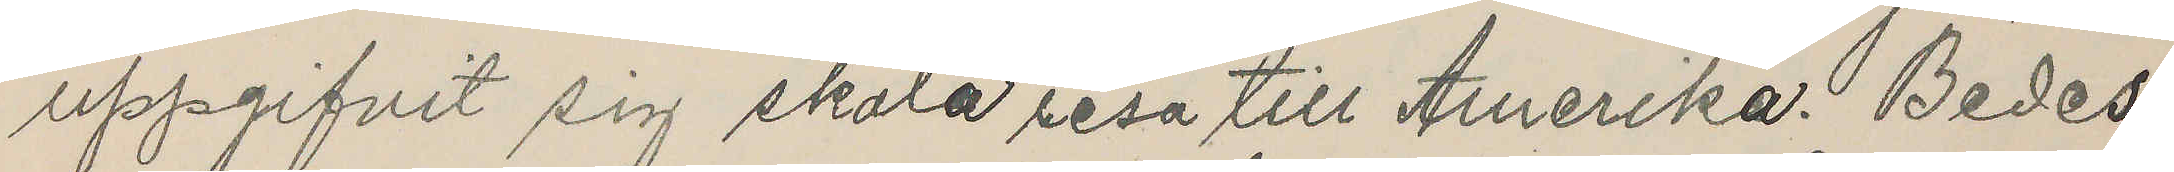uppgifvit sig skola resa till Amerika. Bedes
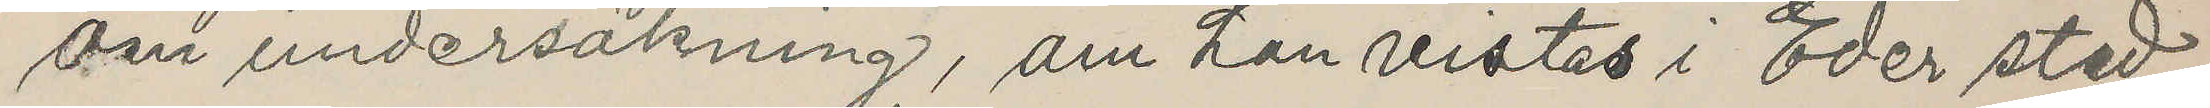om undersökning, om han vistas i Eder stad,
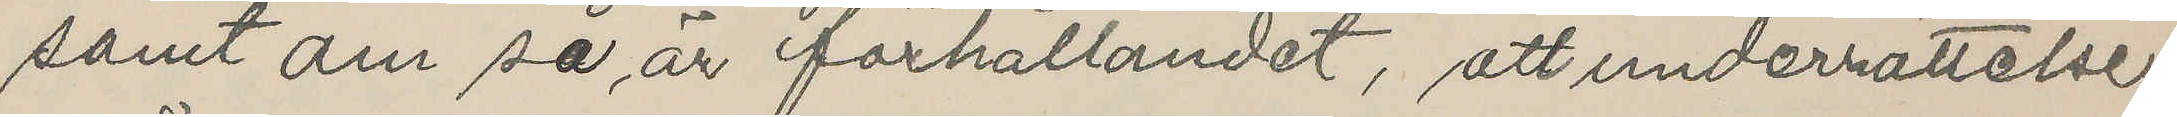samt om så är förhållandet, att underrättelse
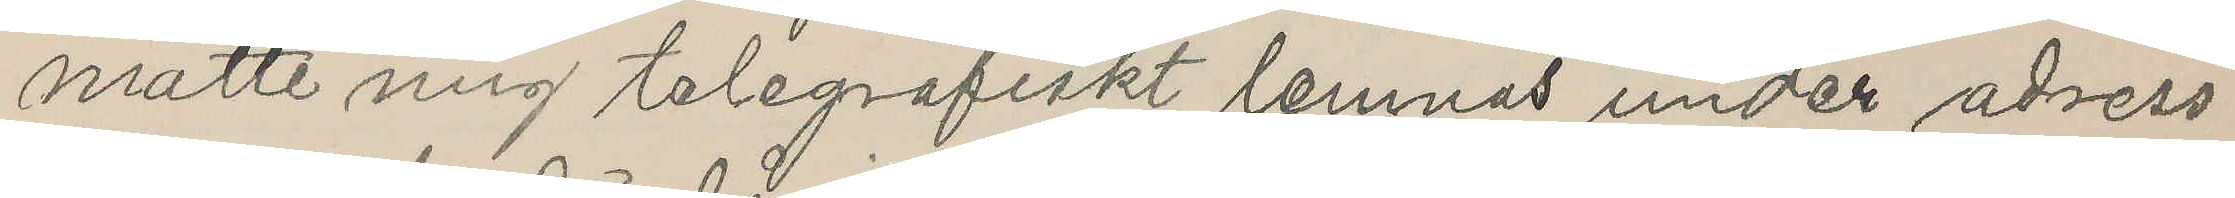måtte mig telegrafiskt lemnas under adress
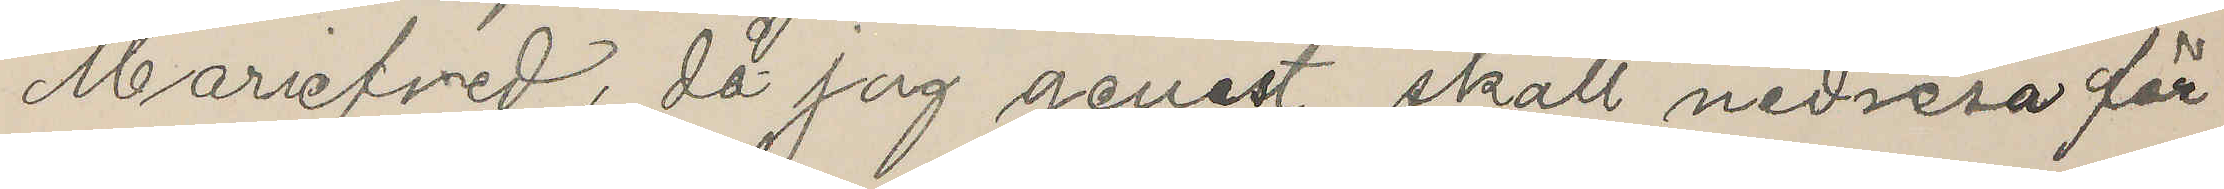Mariefred, då jag genast skall nedresa för
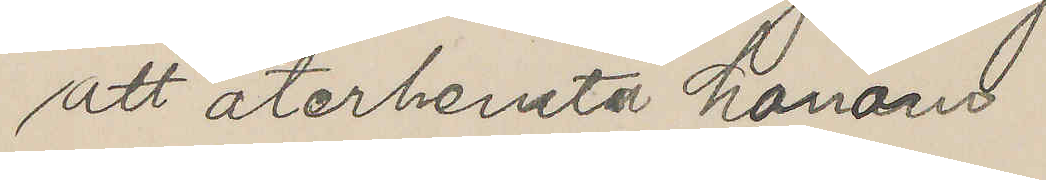att återhemta honom
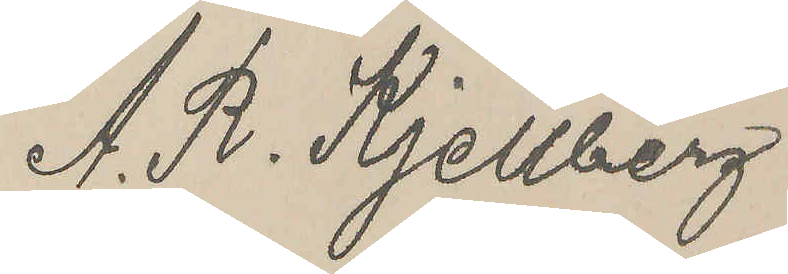A. R. Kjellberg
